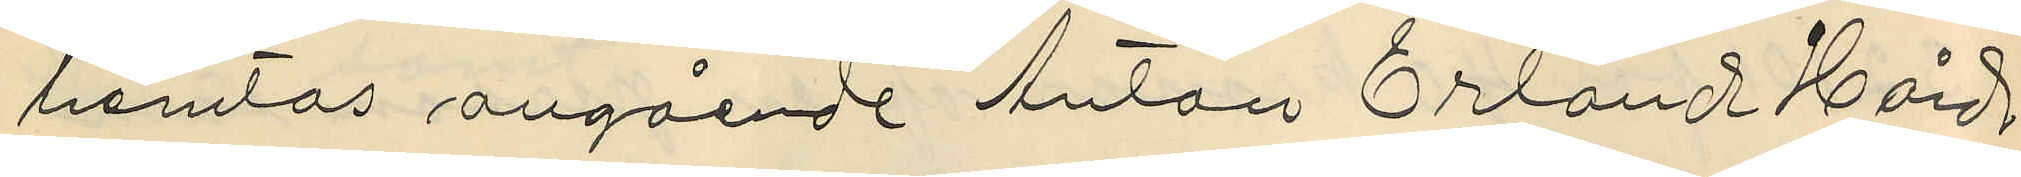hemtas angående Anton Erland Hård
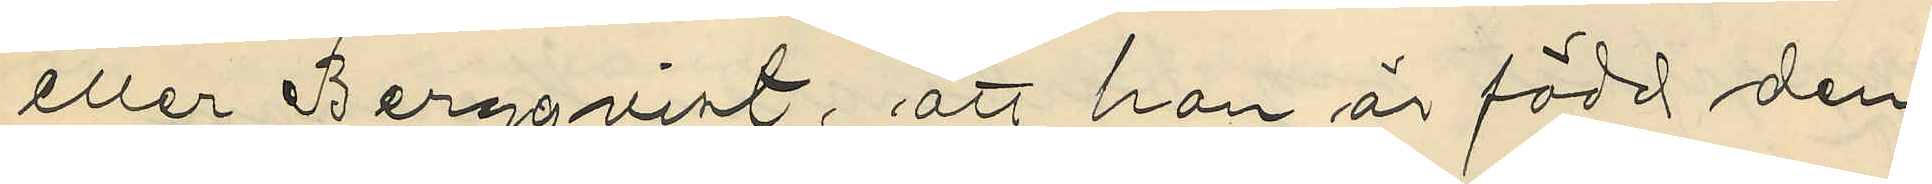eller Bergqvist, att han är född den
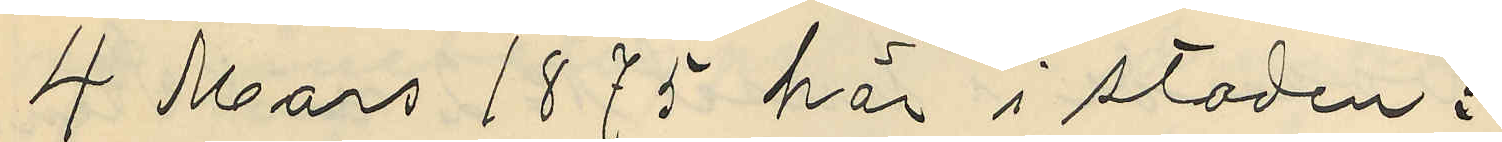4 Mars 1875 här i staden i
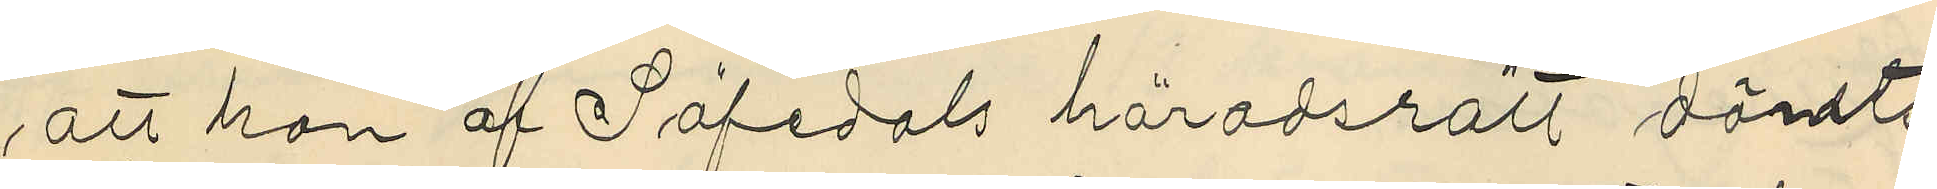att han af Säfedals häradsrätt dömts
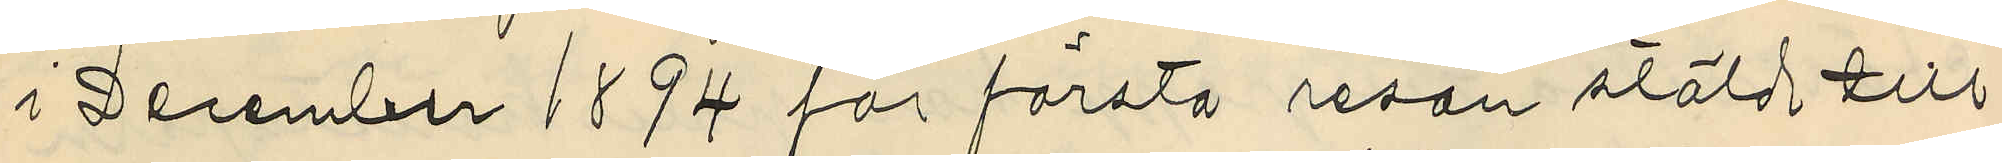i December 1894 för första resan stöld till
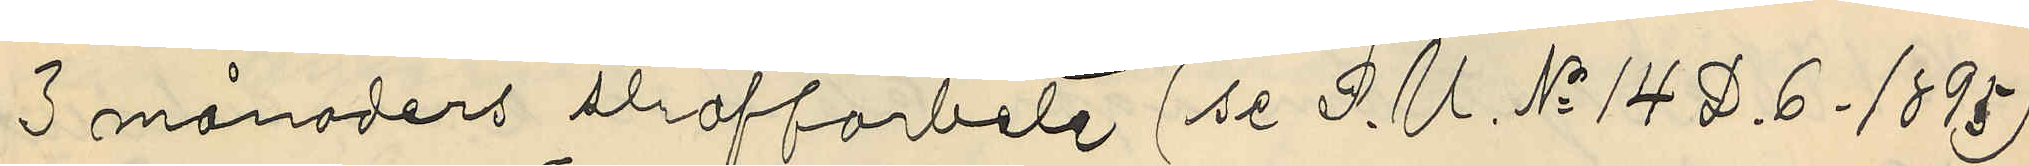3 månaders straffarbete (se P. U. No 14 D.6. 1895)
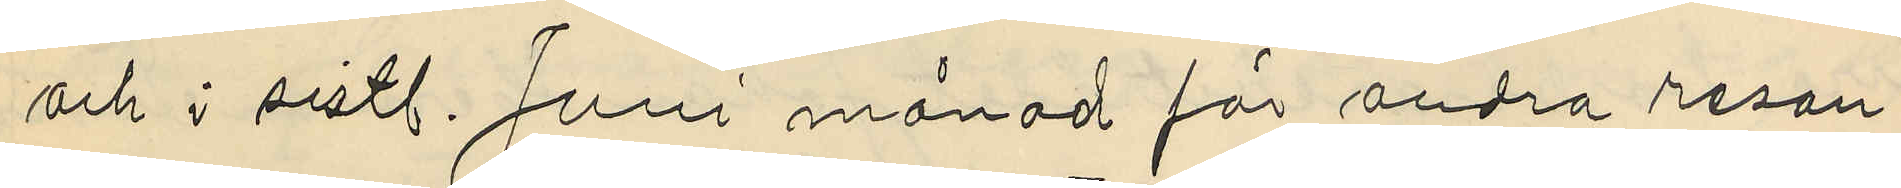och i sistl. Juni månad för andra resan
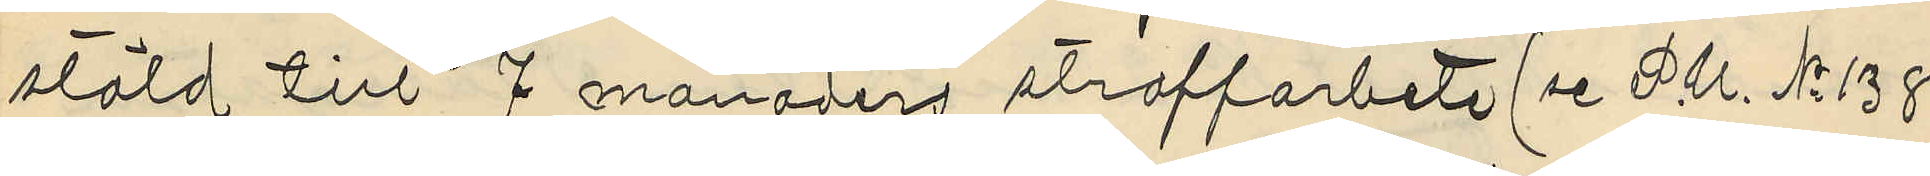stöld till 7 månaders straffarbete (se P.U. No 138
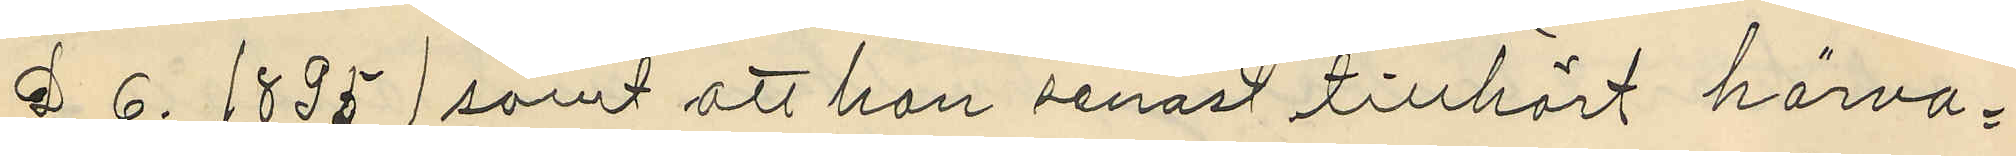D 6. 1895) samt att han senast tillhört härva¬
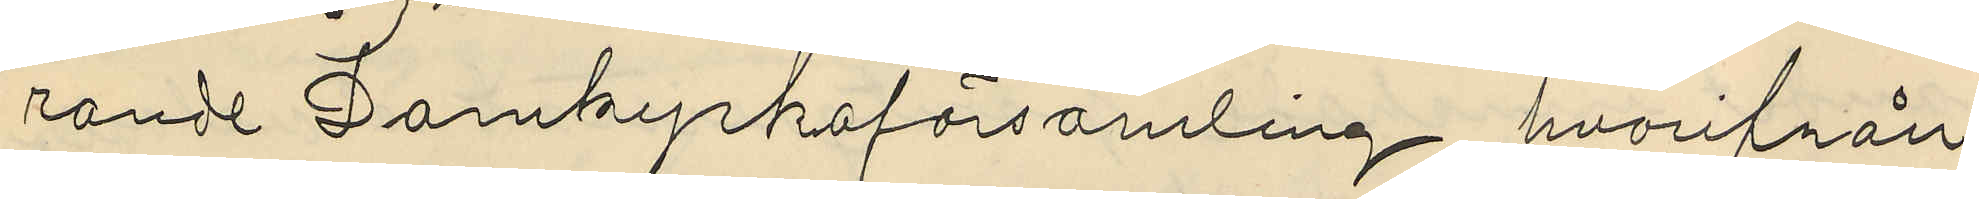rande Domkyrkoförsamling, hvarifrån
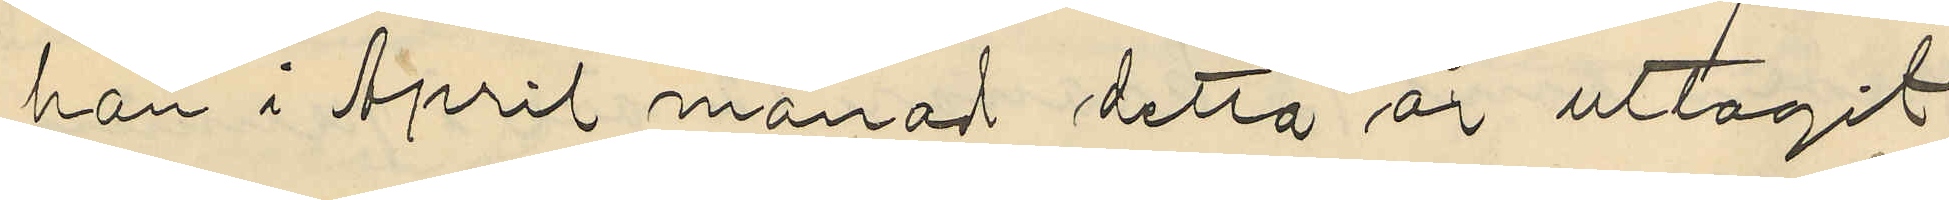han i April månad detta år uttagit
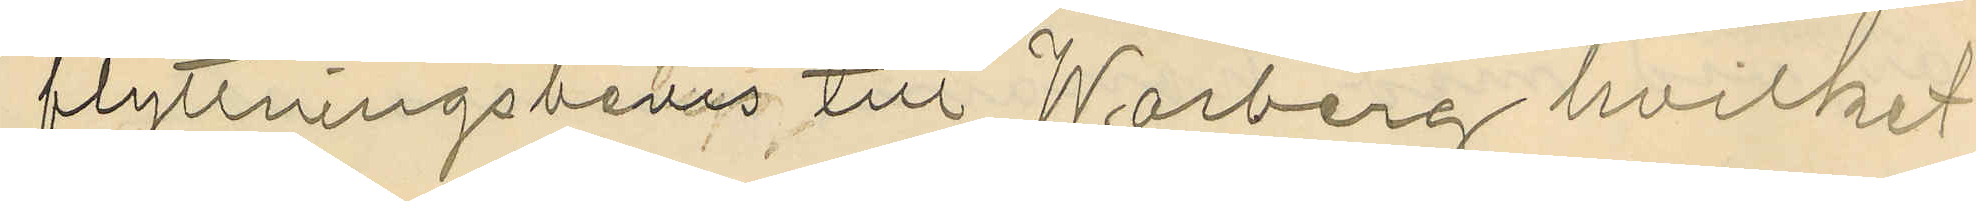flyttningsbevis till Warberg hvilket
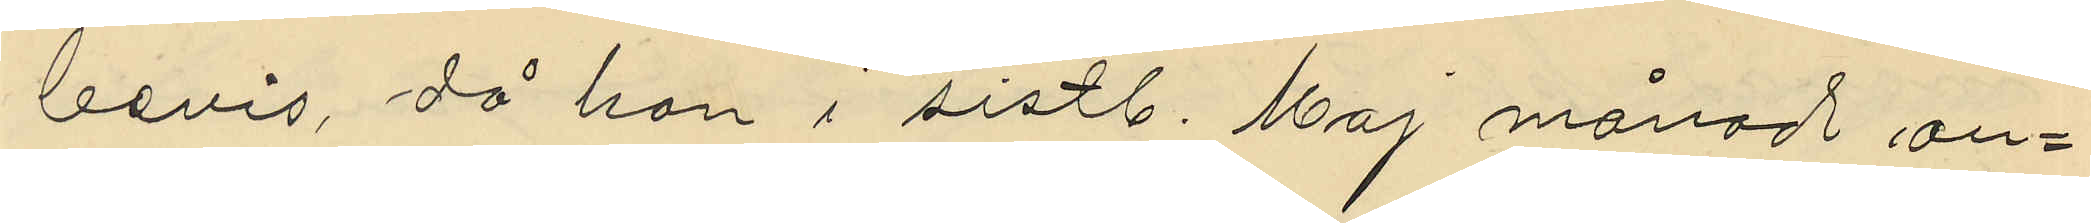bevis, då han i sistl. Maj månad an¬
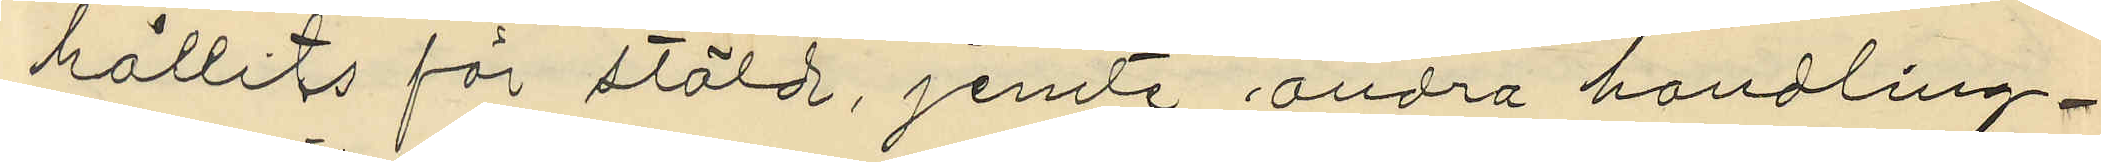hållits för stöld, jemte andra handling¬
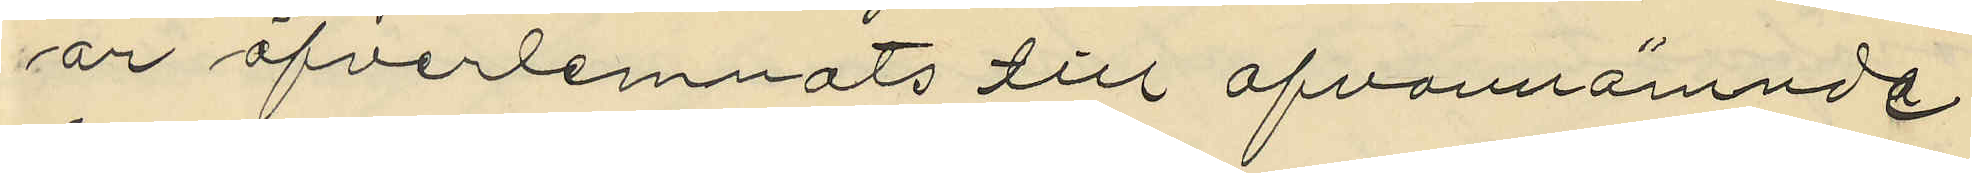ar öfverlemnats till ofvannämnde
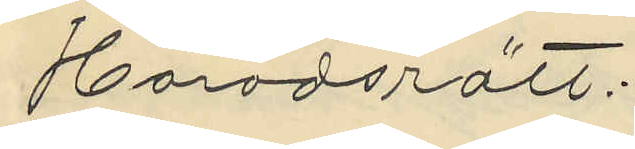Häradsrätt:
